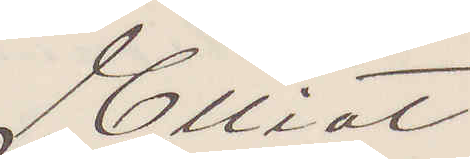Elliot
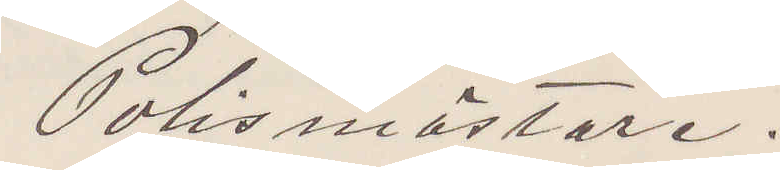Polismästare.
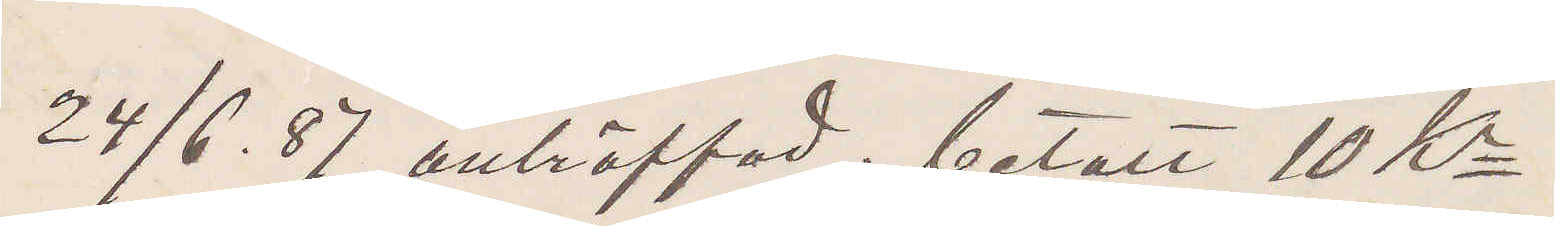24/6. 87 anträffad; betalt 10 Kr
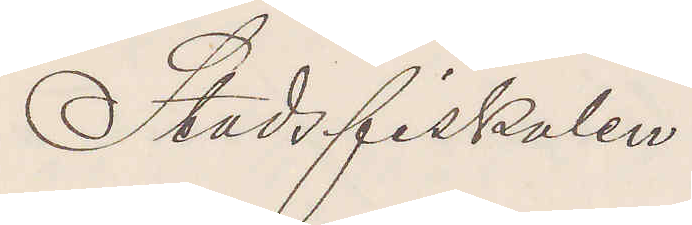Stadsfiskalen
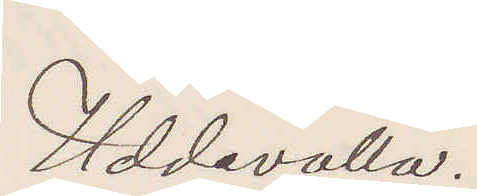Uddevalla.
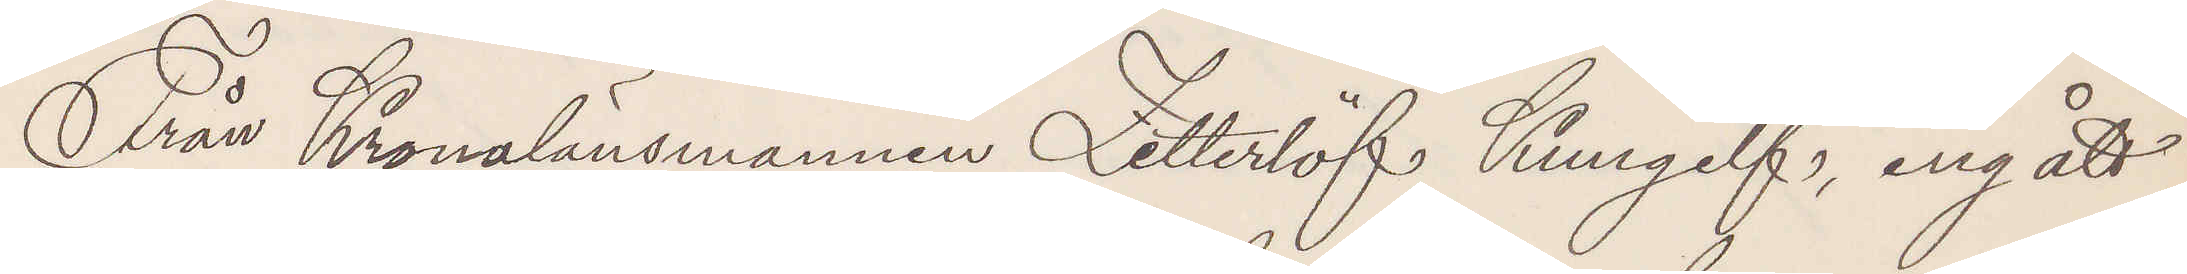Från Kronolänsmannen Zetterlöf Kungelf, ingått
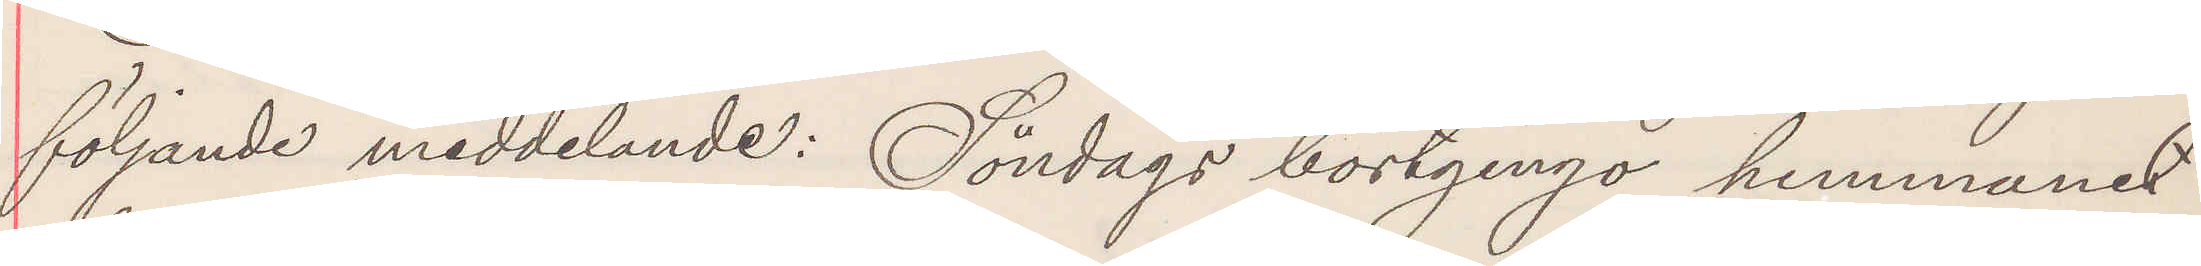följande meddelande: Söndags bortgingo hemmanet
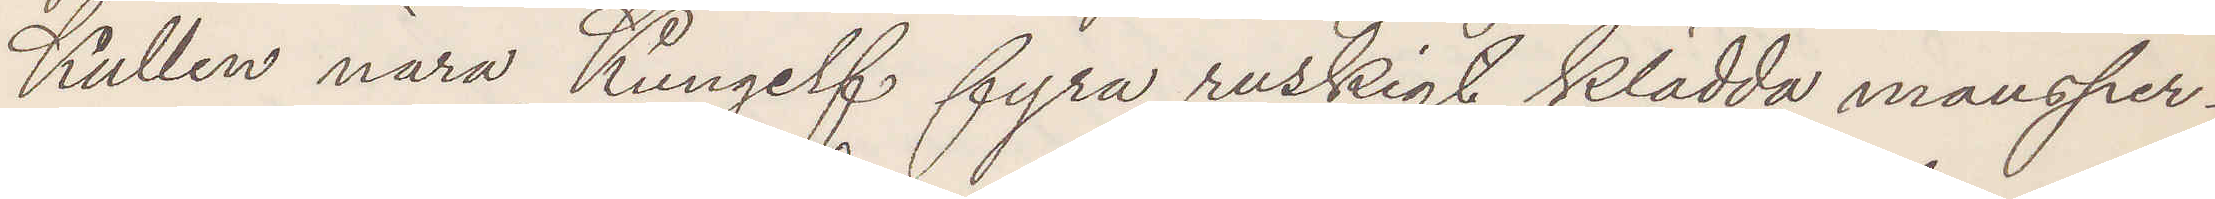Kullen nära Kungelf fyra ruskigt klädda mansper¬
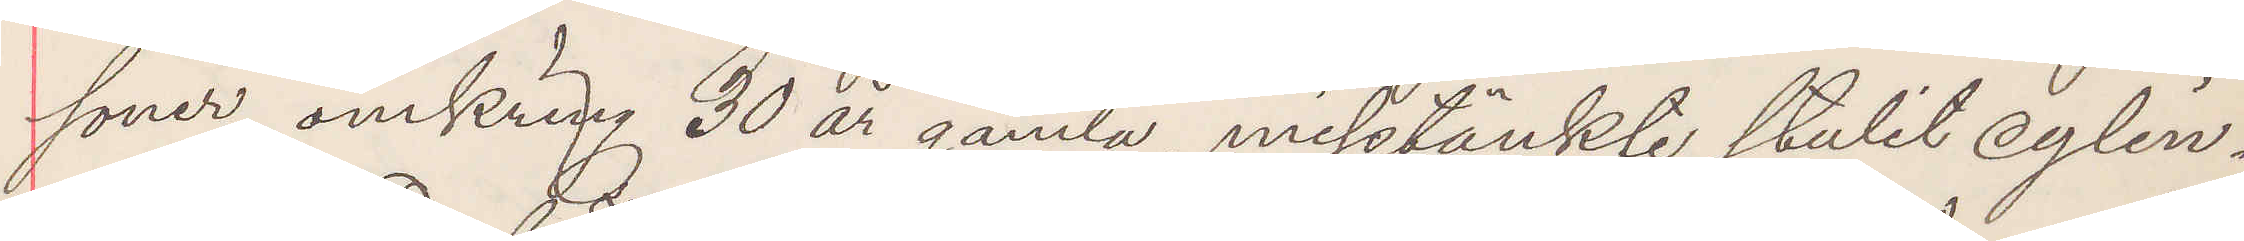soner omkring 30 år gamla, misstänkte stulit cylin¬
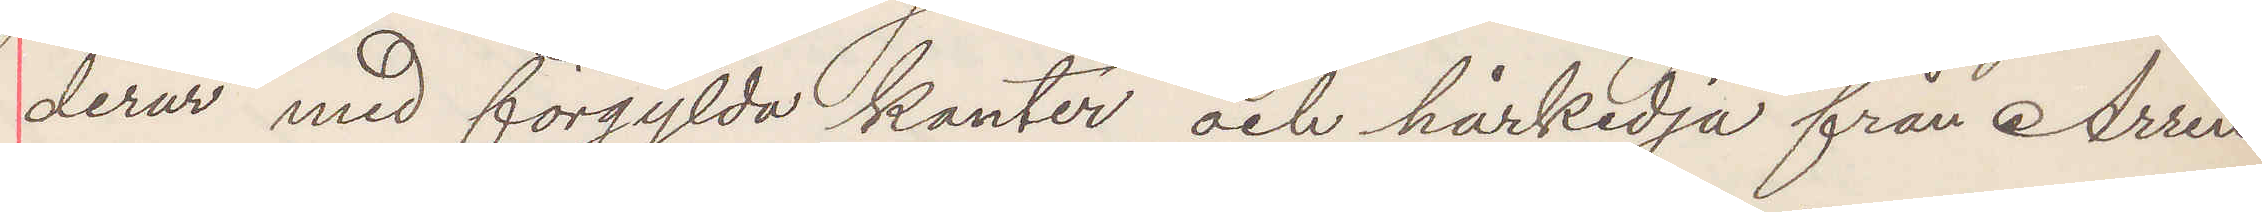derur med förgylda kanter och hårkedja från Arren¬
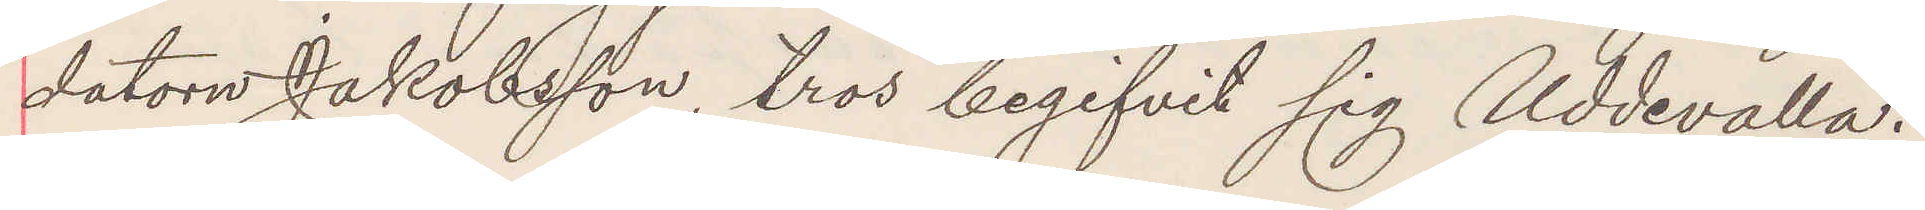datorn Jakobsson, tros begifvit sig Uddevalla.
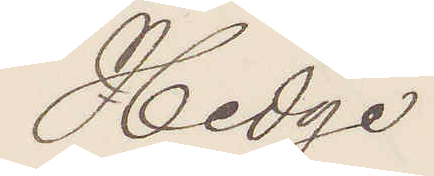Hedge
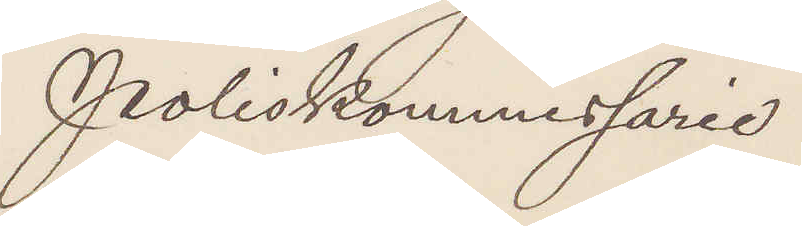Poliskommissarie.
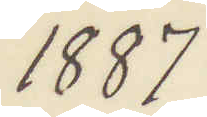1887
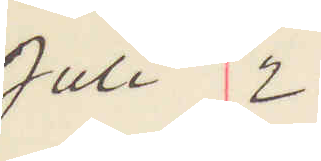Juli 12
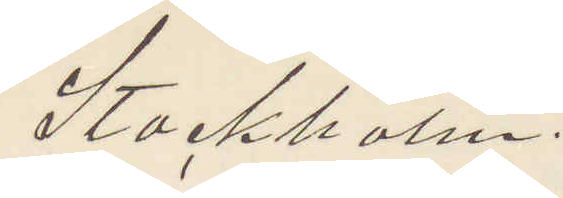Stockholm.
